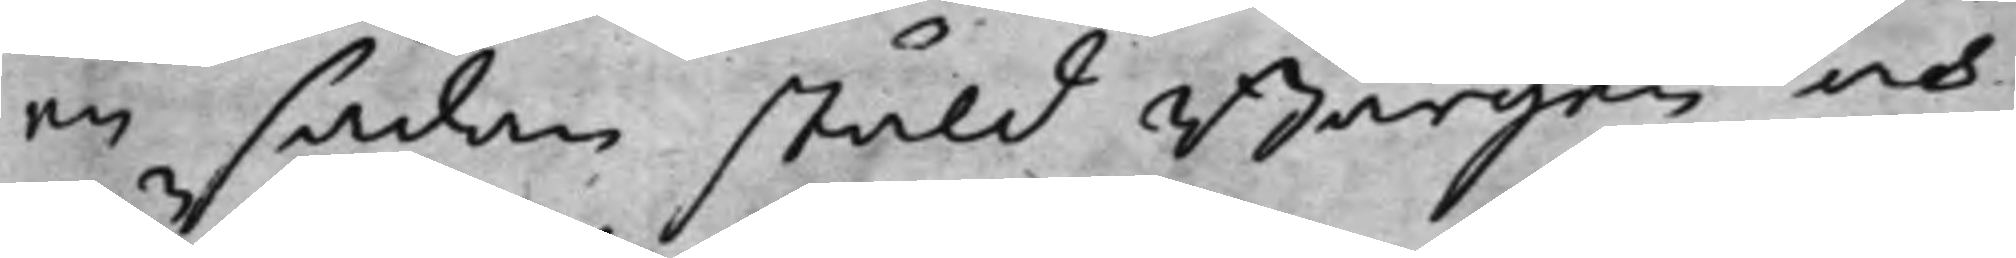en sådan stäld Borgen och
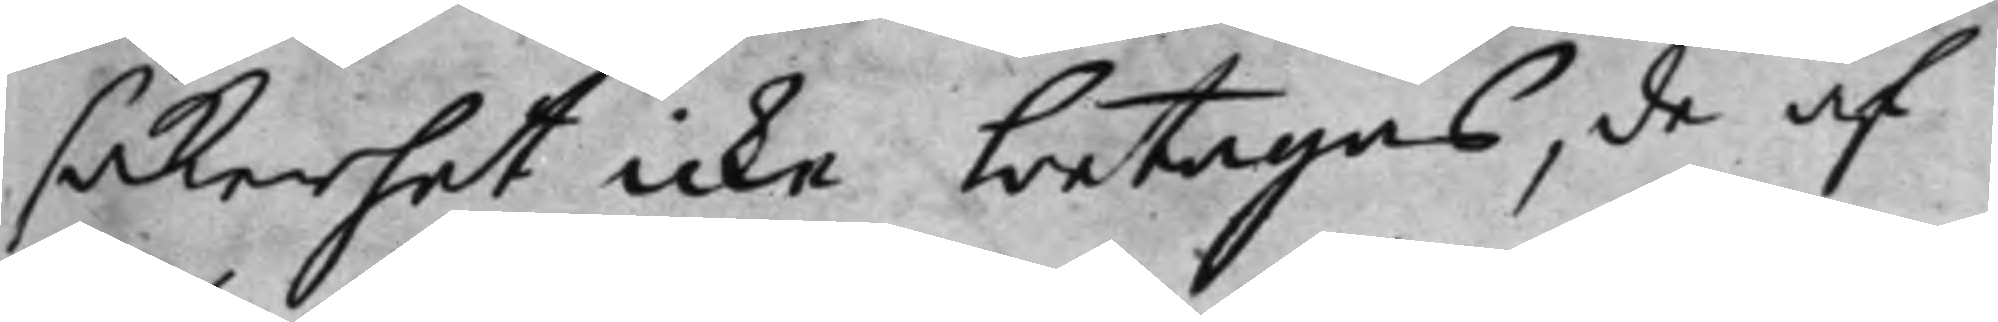säkerhet icke betagas, de af
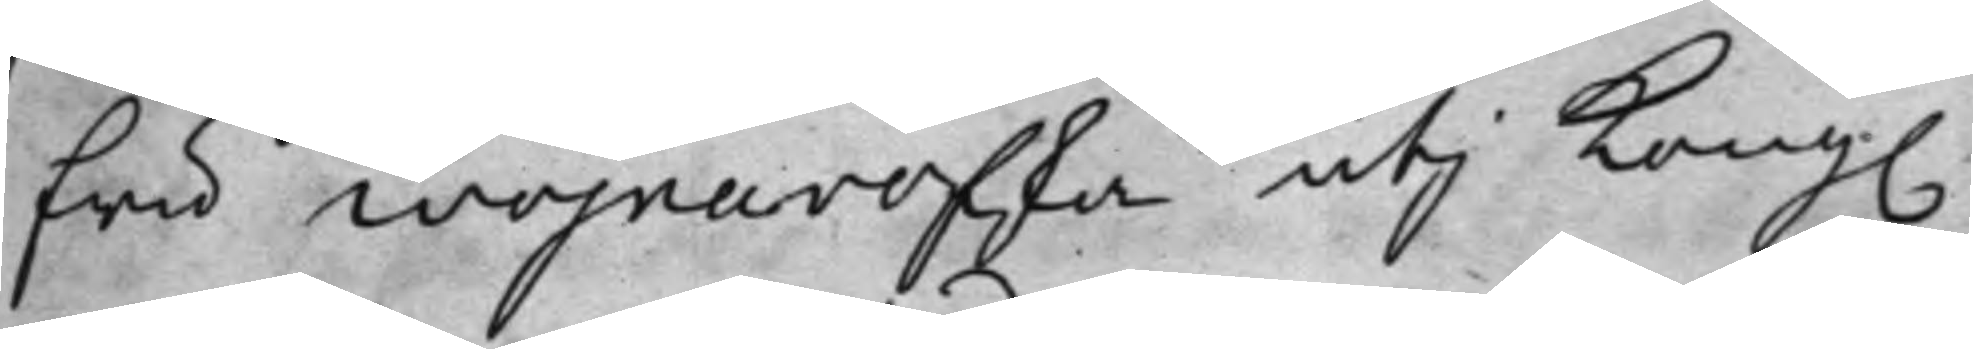fru Wojnarofska utij Kong.
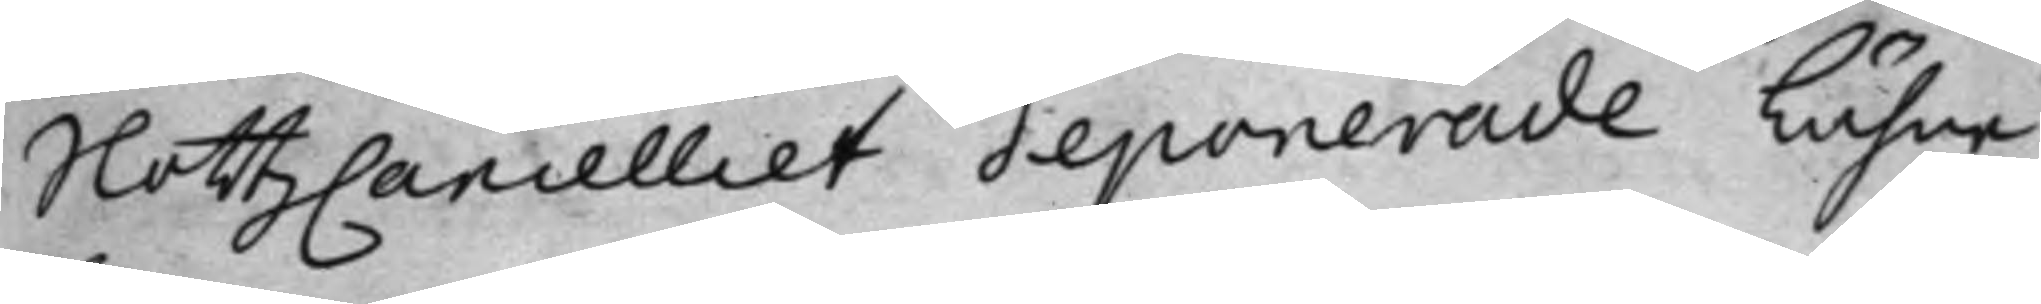SlottzCancelliet deponerade Lähne
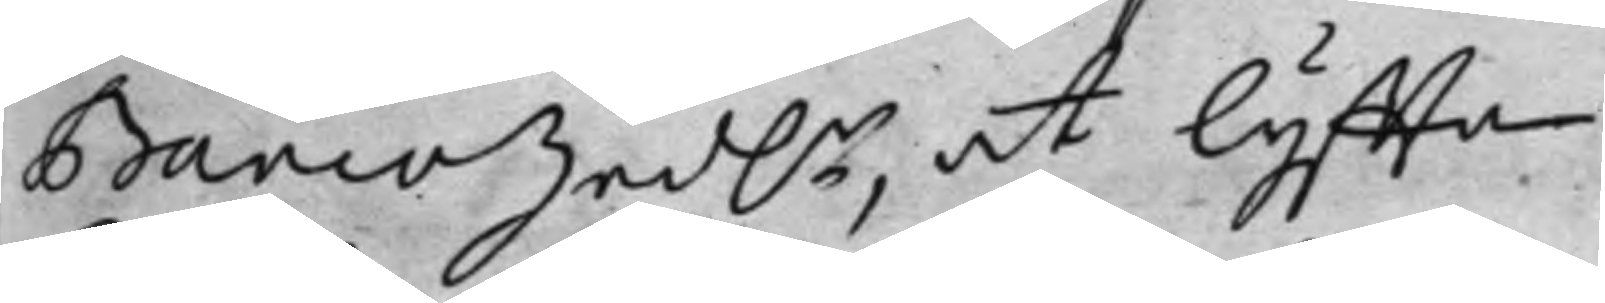BancoSed.r at lyffta.
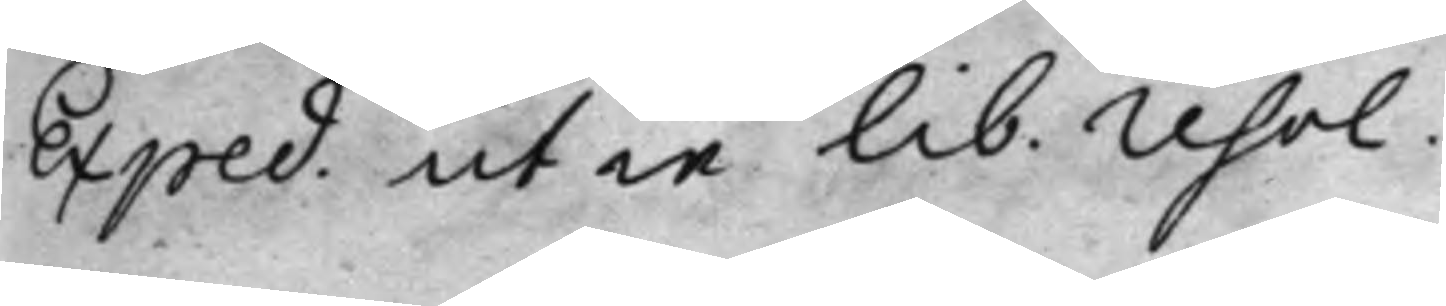Exped. ut in lib. resol.
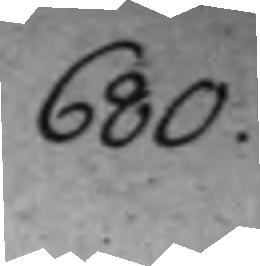680.
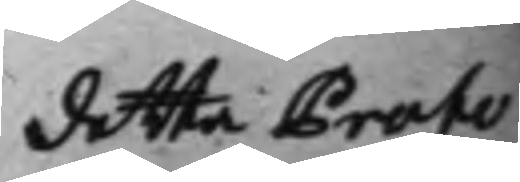detta Proto¬
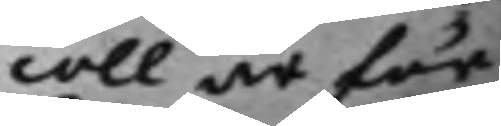coll är för
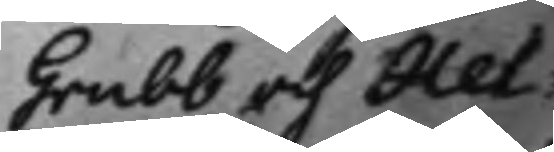Grubb och Hel¬
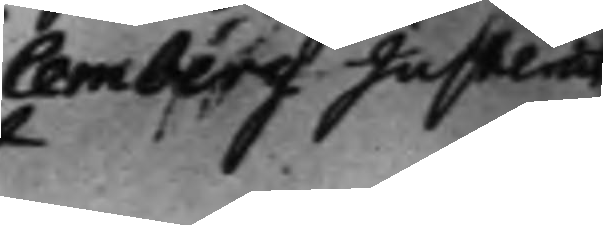lemberg Justerat
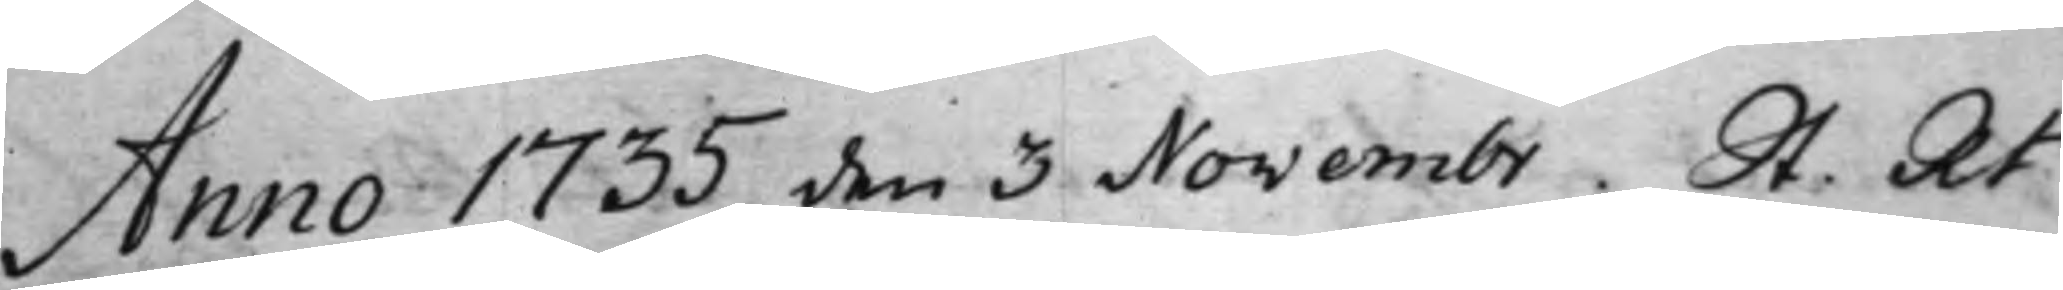Anno 1735 den 3 Novembr. St. Rt
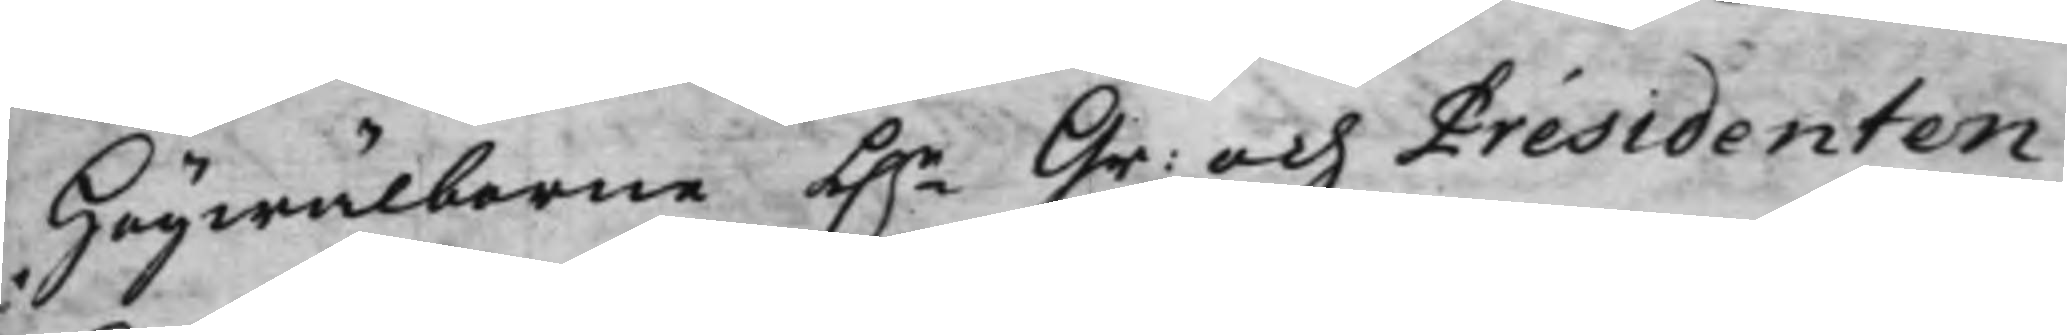Högwälborne h.r Gr: och Presidenten
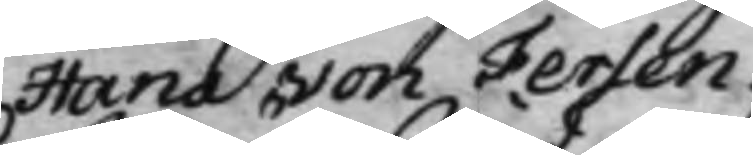Hans von Fersen.
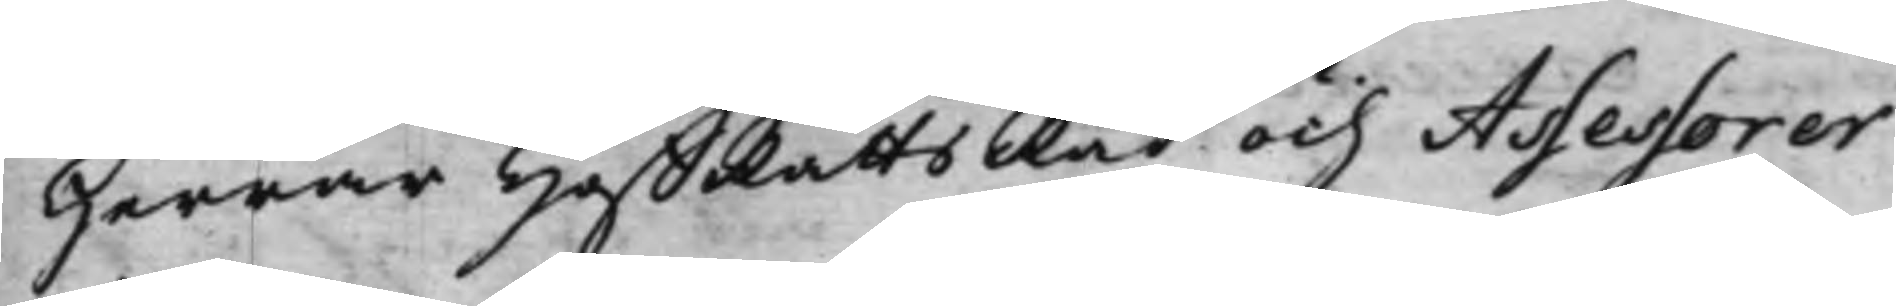Herrar HåffRättsRåd och Assessorer
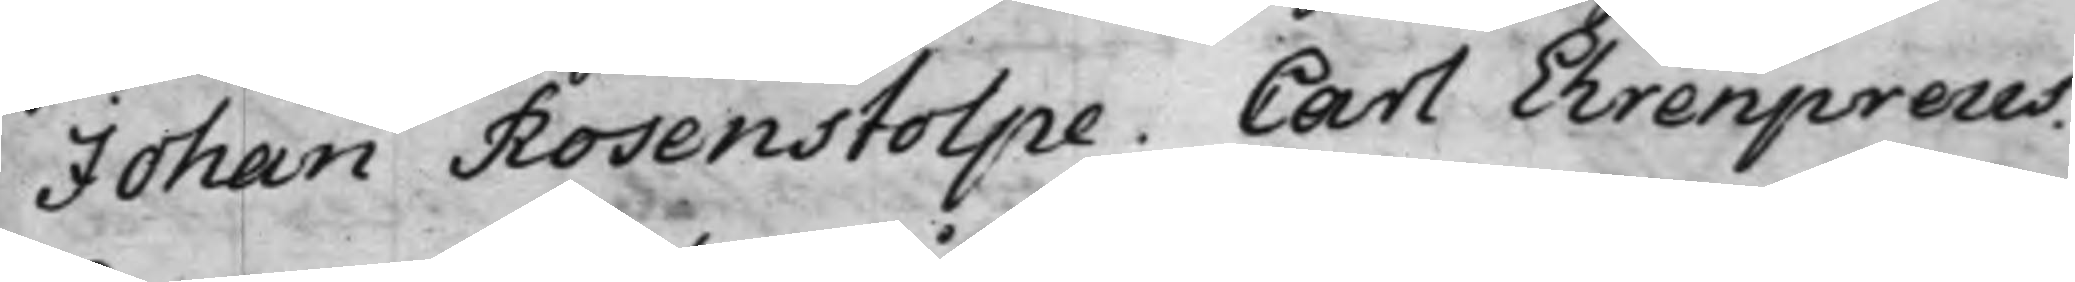Johan Rosenstolpe. Carl Ehrenpreus.
